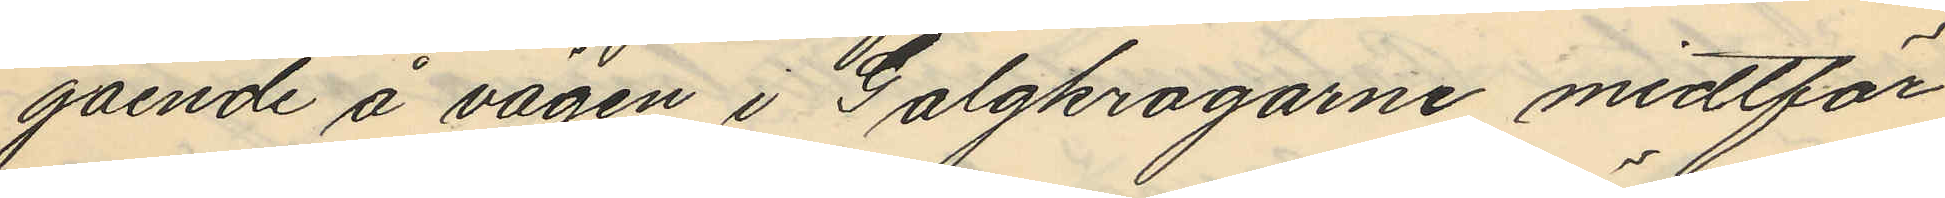gående å vägen i Galgkrogarne midtför
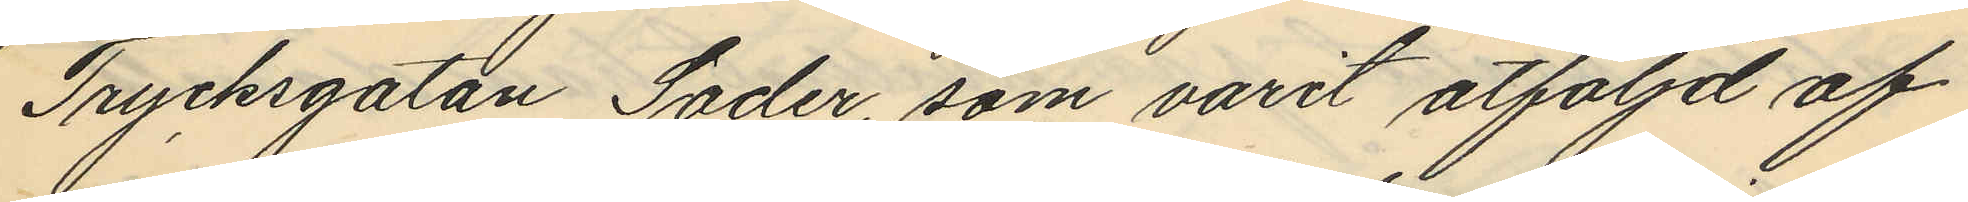Trycksgatan Söder, som varit åtföljd af
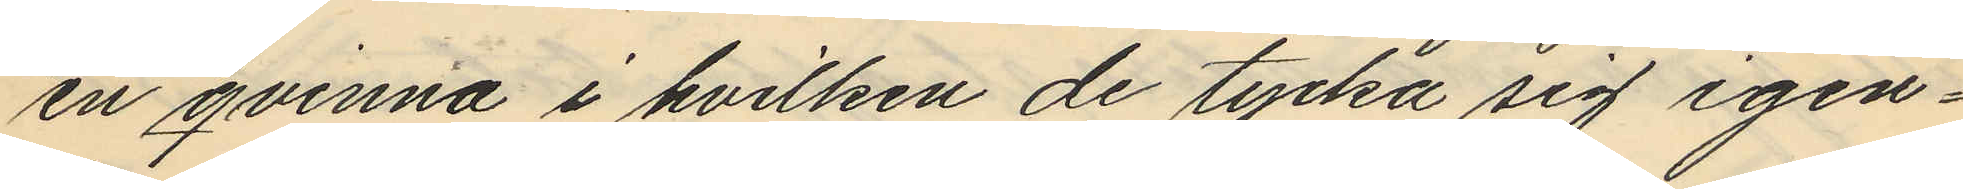en qvinna i hvilken de tycka sig igen¬
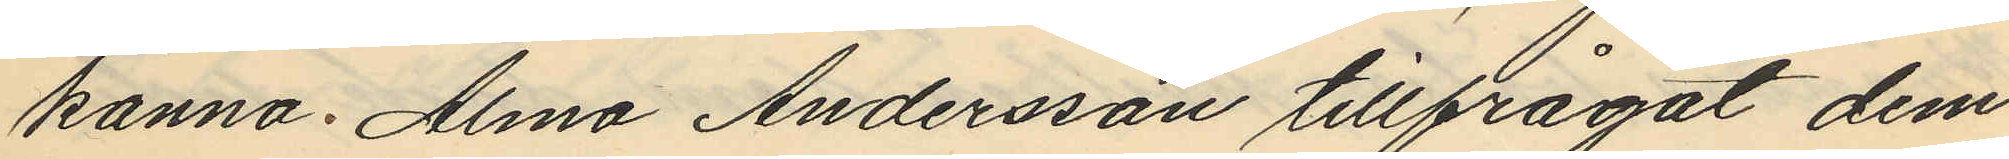kanna Alma Andersson tillfrågat dem
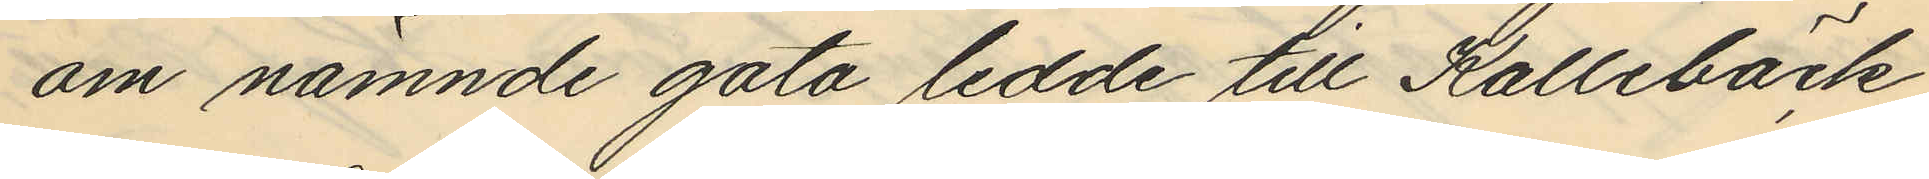om nämnde gata ledde till Kallebäck
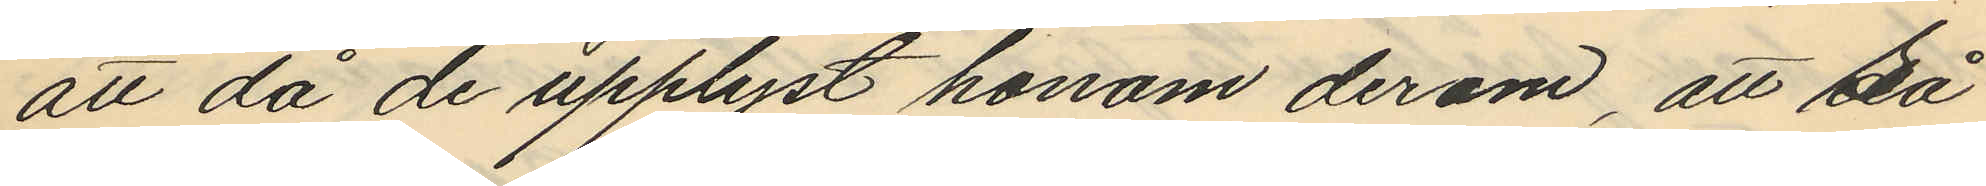att då de upplyst honom derom att så
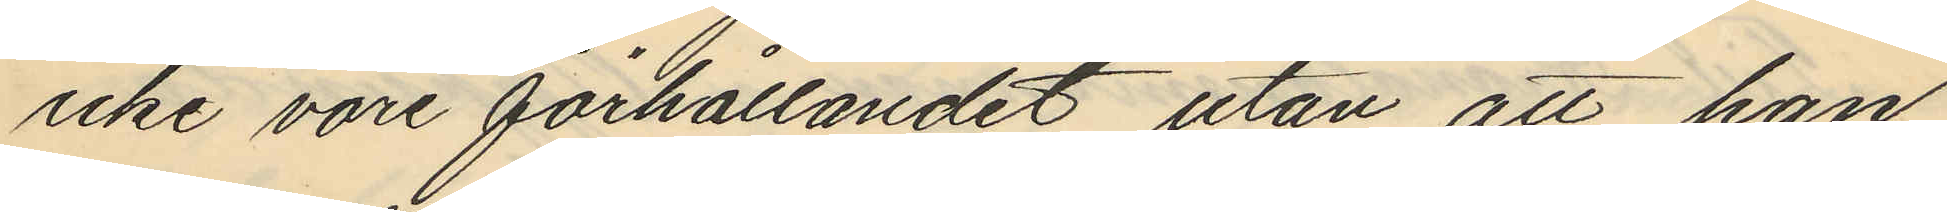icke vore förhållandet utan att han
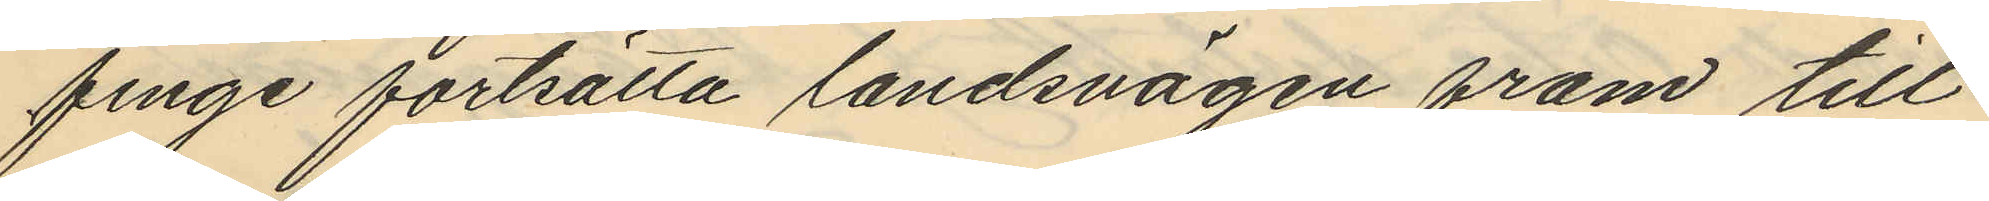finge fortsätta landsvägen fram till
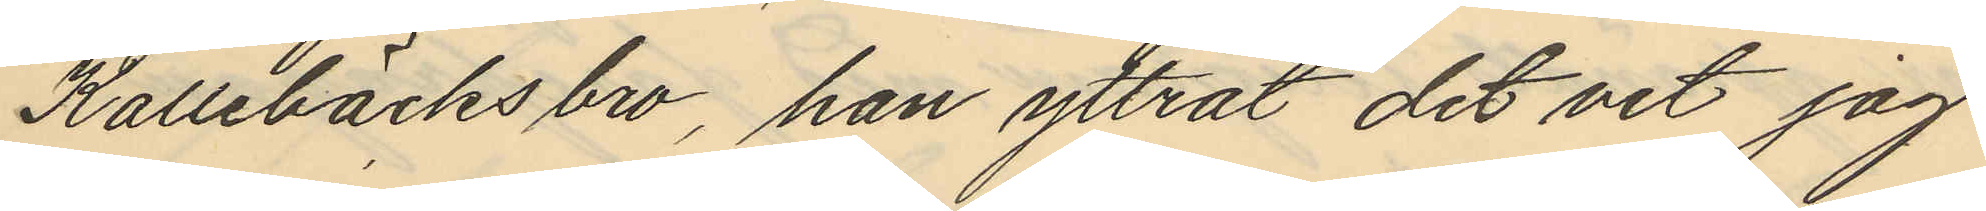Kallebäcksbro, han yttrat det vet jag
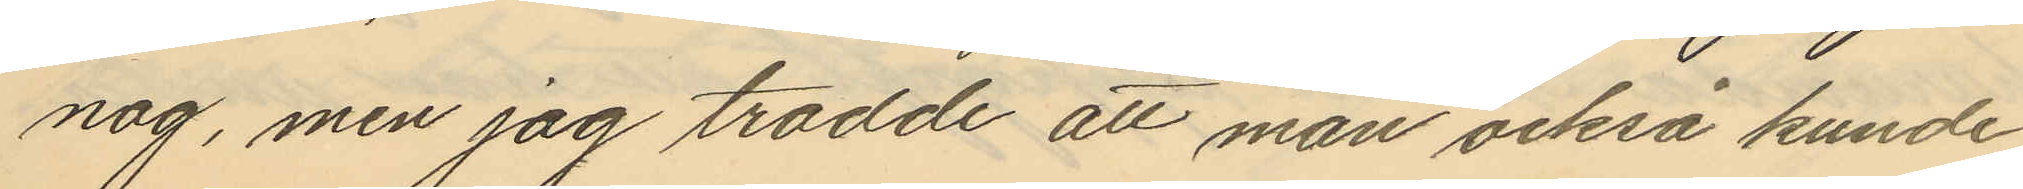nog, men jag trodde att man också kunde
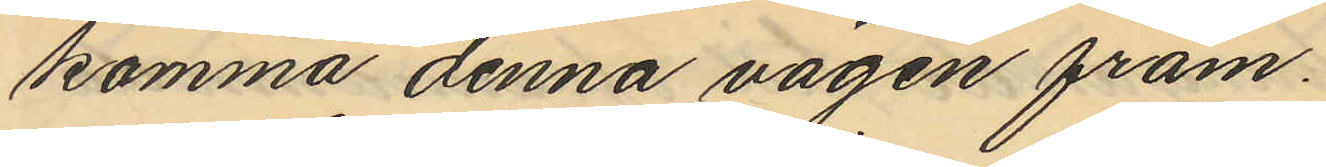komma denna vägen fram.
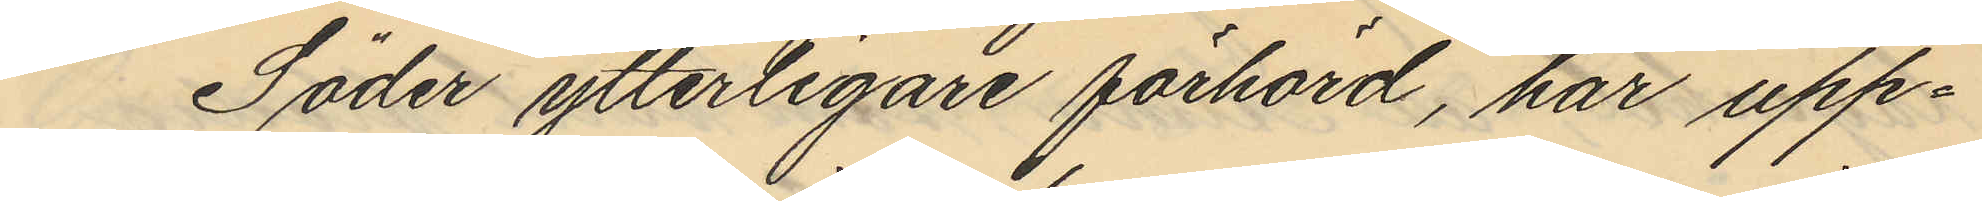Söder ytterligare förhörd, har upp¬
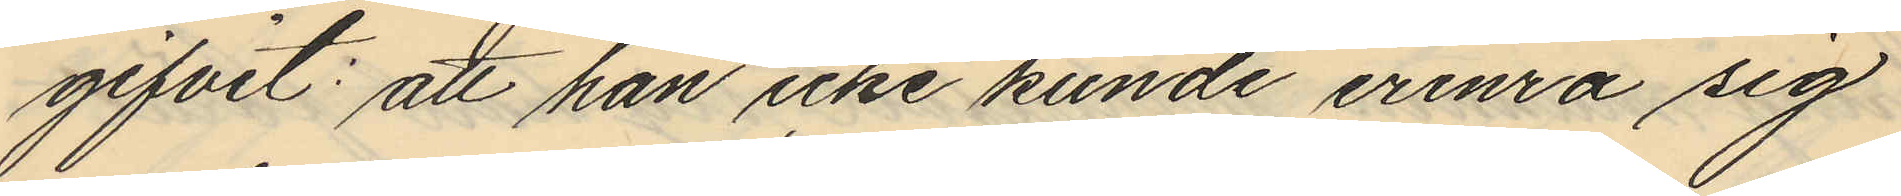gifvit: att han icke kunde erinra sig
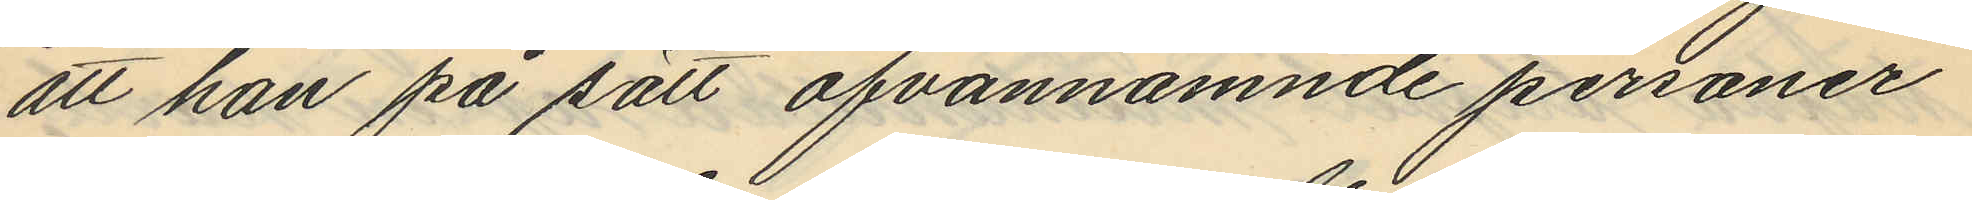att han på sätt ofvannämnde personer
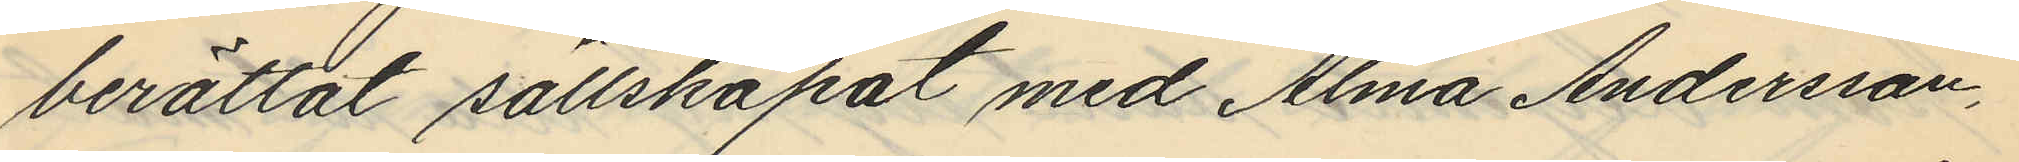berättat sällskapat med Alma Andersson,
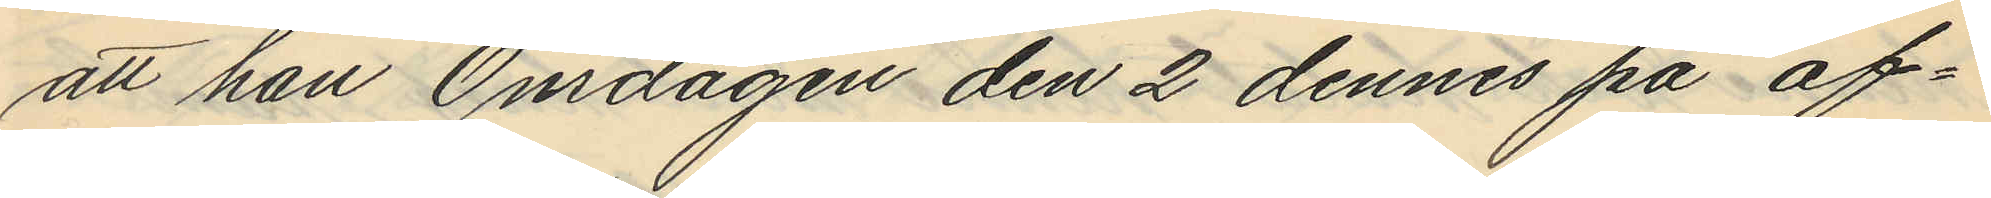att han Onsdagen den 2 dennes på af¬
